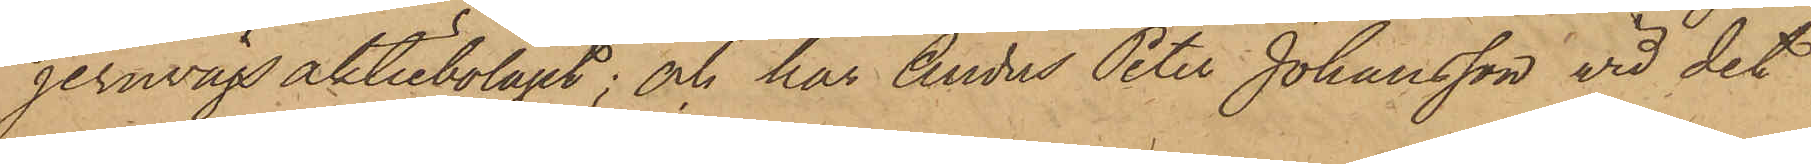jernvägsaktiebolaget; och har Anders Peter Johansson vid det
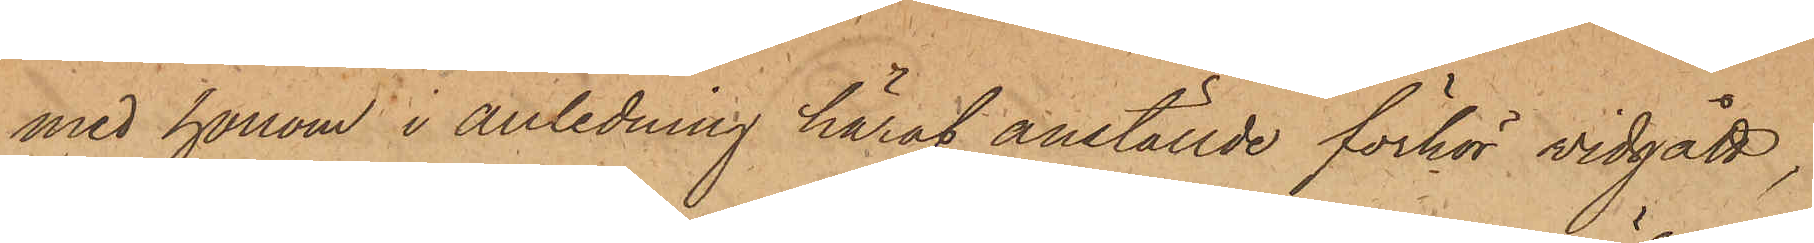med honom i anledning häraf anställde förhör vidgått,
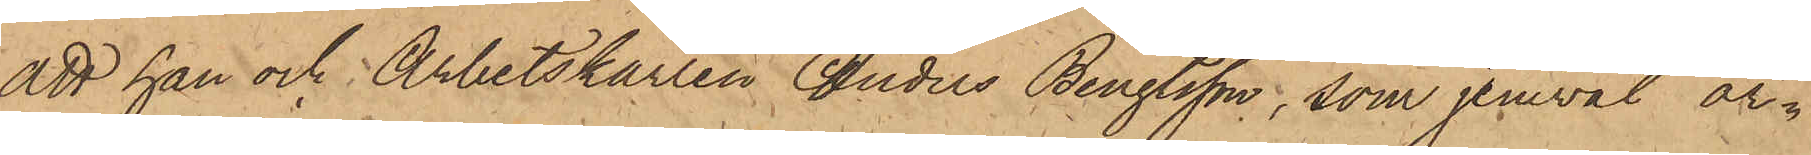att han och Arbetskarlen Anders Bengtsson, som jemväl ar¬
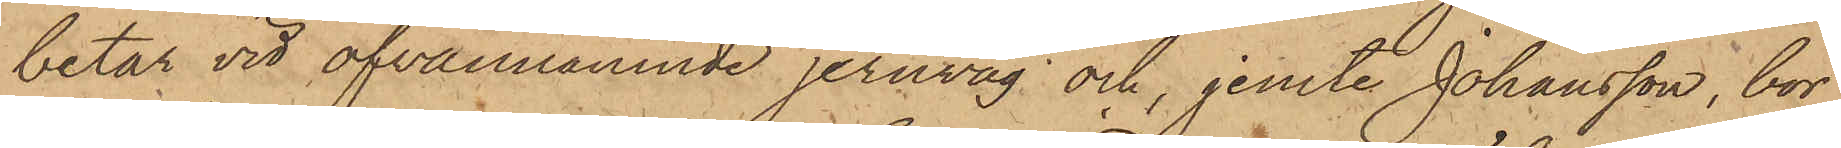betar vid ofvannämnde jernväg; och, jemte Johansson bor
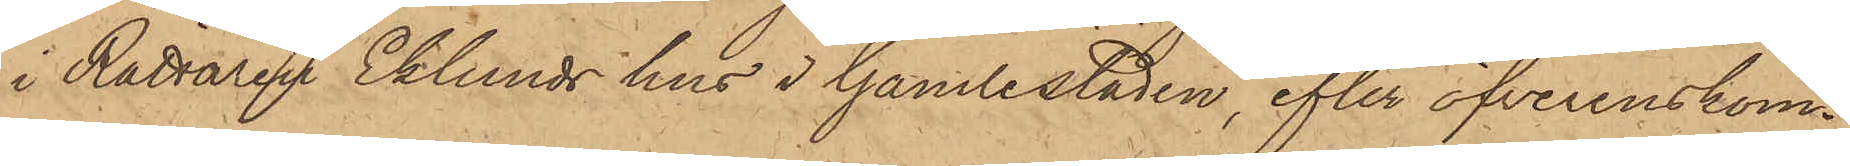i Rättaren Eklunds hus i Gamlestaden, efter öfverenskom¬
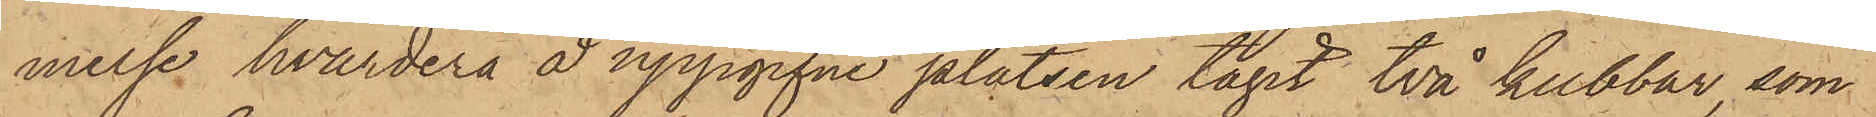melse hvardera å uppgifne platsen tagit två kubbar, som
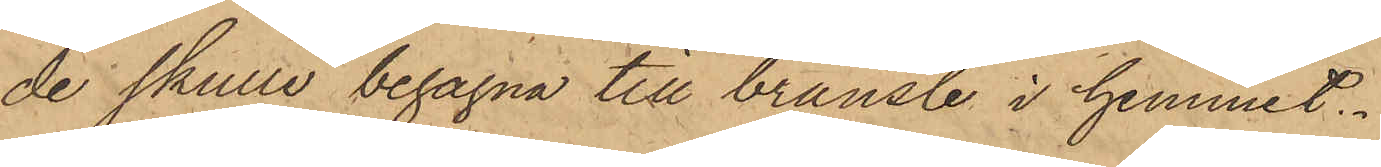de skulle begagna till bränsle i hemmet.
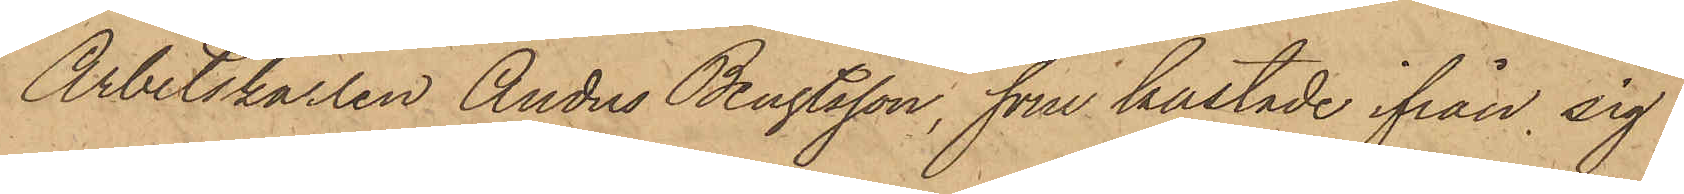Arbetskarlen Anders Bengtsson, som kastade ifrån sig
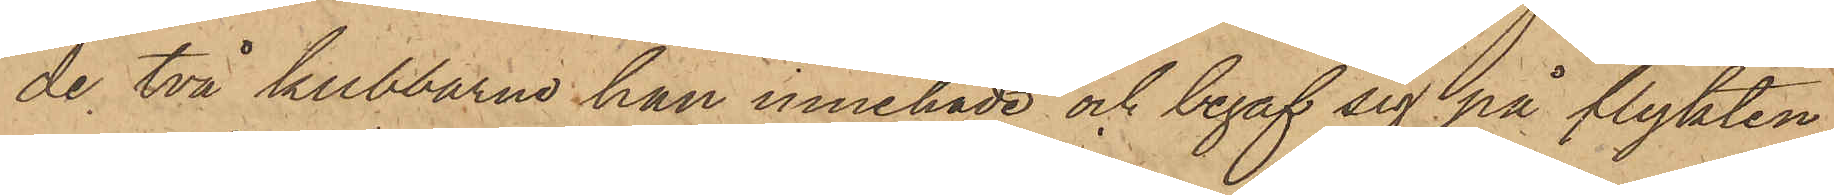de två kubbarna han innehade och begaf sig på flykten
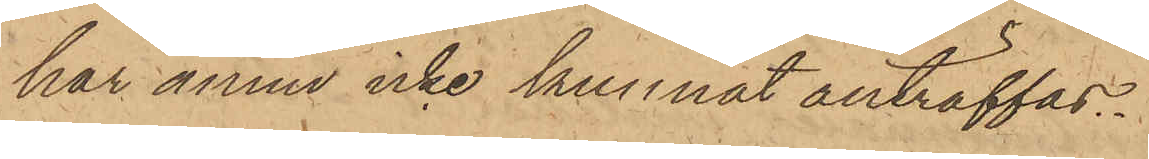har ännu icke kunnat anträffas.
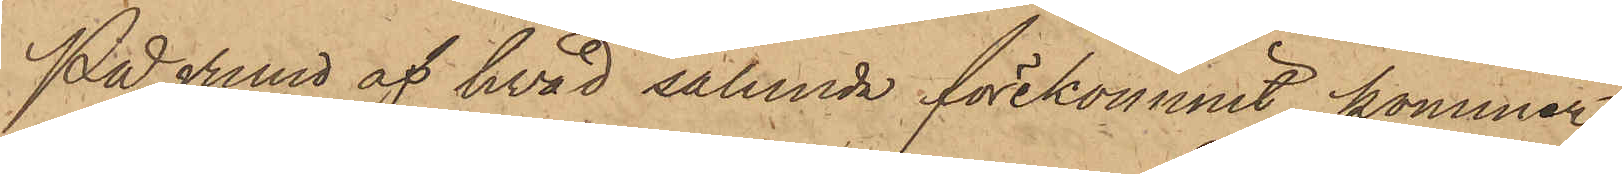På grund af hvad sålunda förekommit, kommer
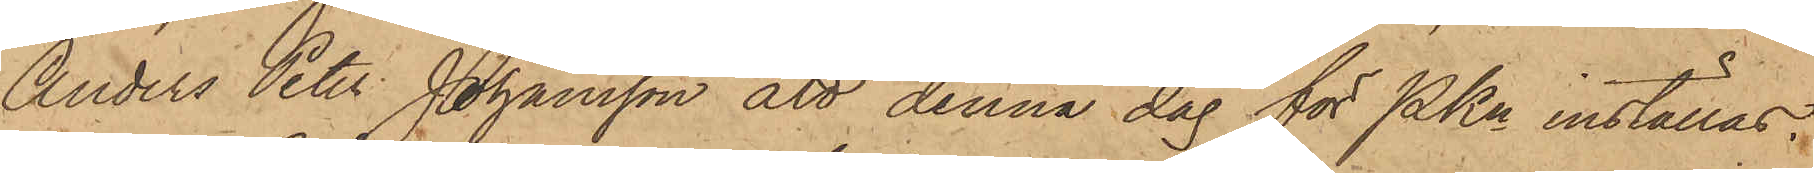Anders Peter Johansson att denna dag för PKn inställas.
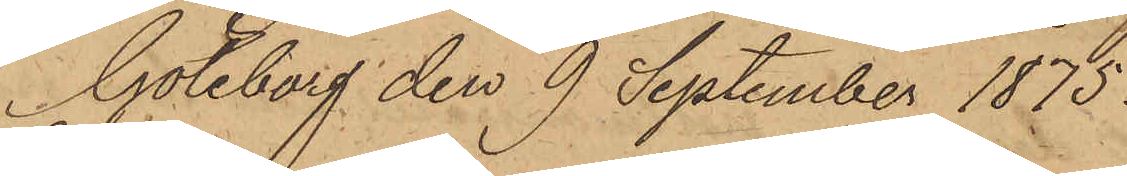Göteborg den 9 September 1875.
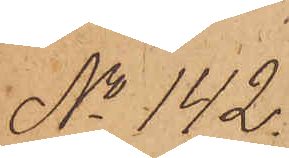No 142.
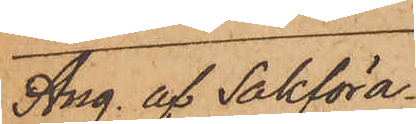Ang. af Sakföra¬
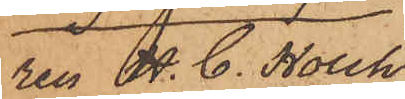ren A. C. Holch
